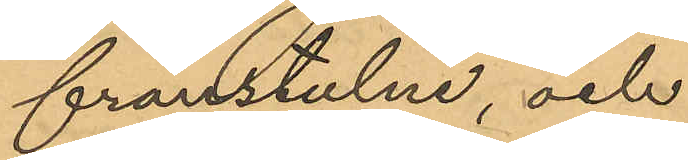frånstulne, och
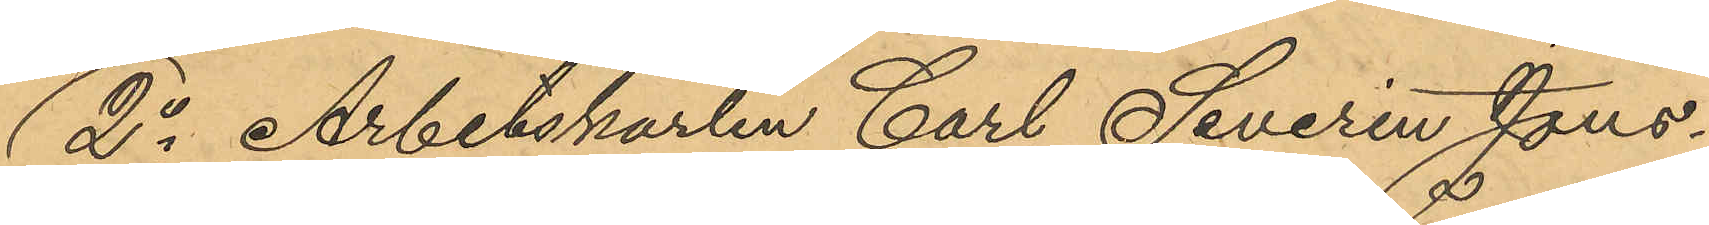2o Arbetskarlen Carl Severin Jons¬
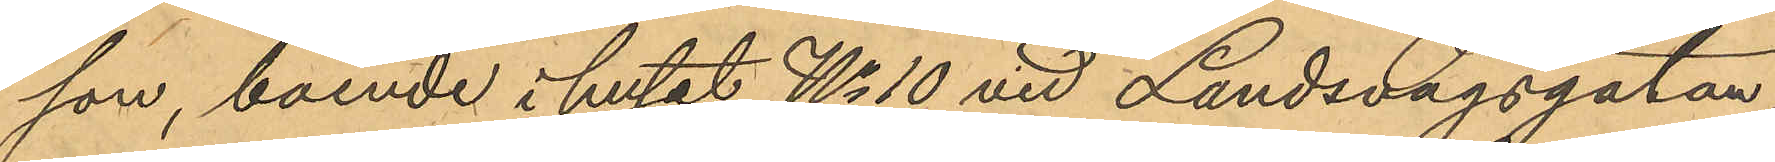son, boende i huset No 10 vid Landsvägsgatan
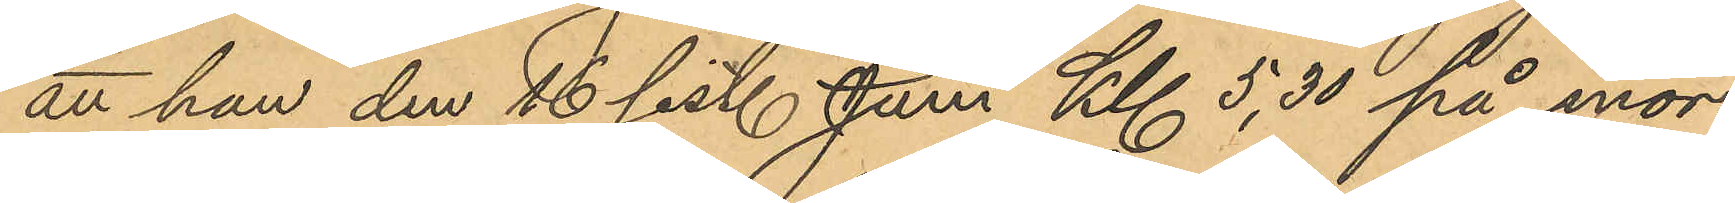att han den 16 sist. Juni Kl 5,30 på mor¬
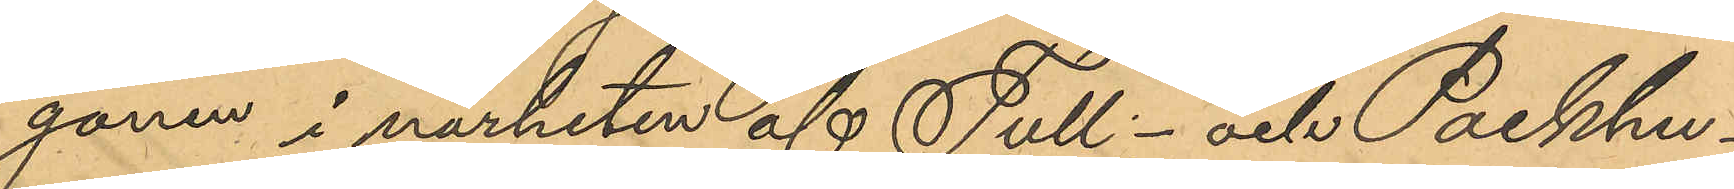gonen i närheten af Tull- och Packhu¬
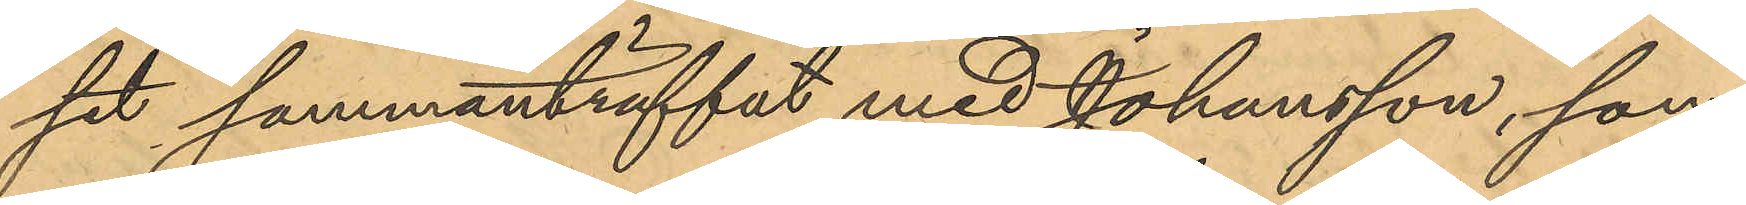set sammanträffat med Johansson, som
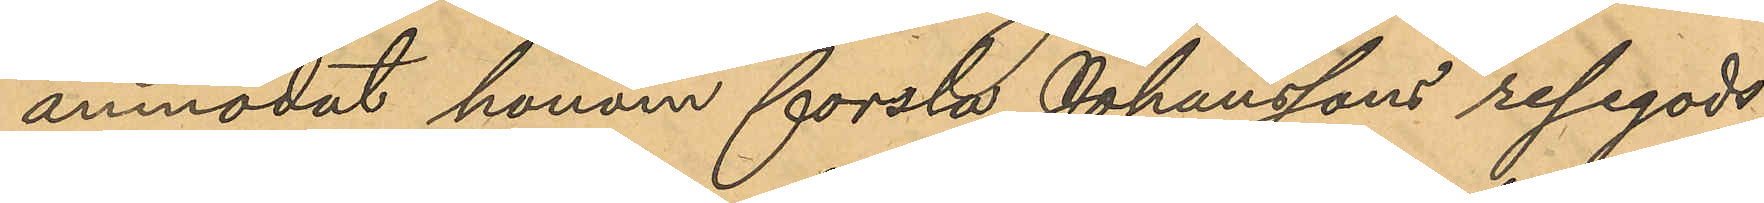anmodat honom forsla Johanssons resegods
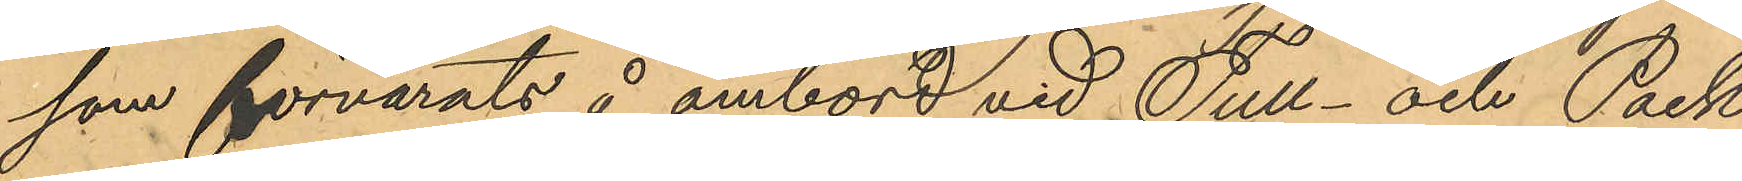som förvarats å ombord vid Tull- och Pack¬
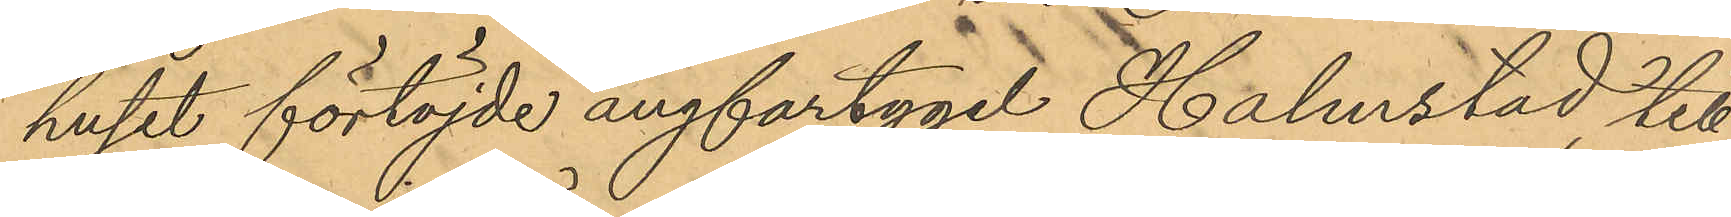huset förtöjde ångfartyget Halmstad till
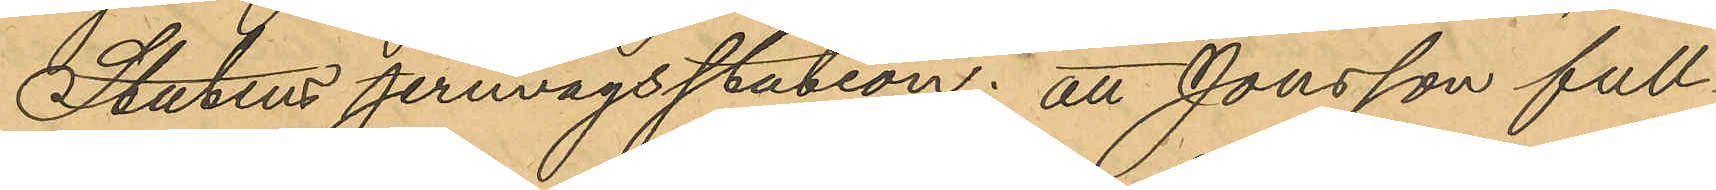Statens jernvägsstation; att Jonsson full¬
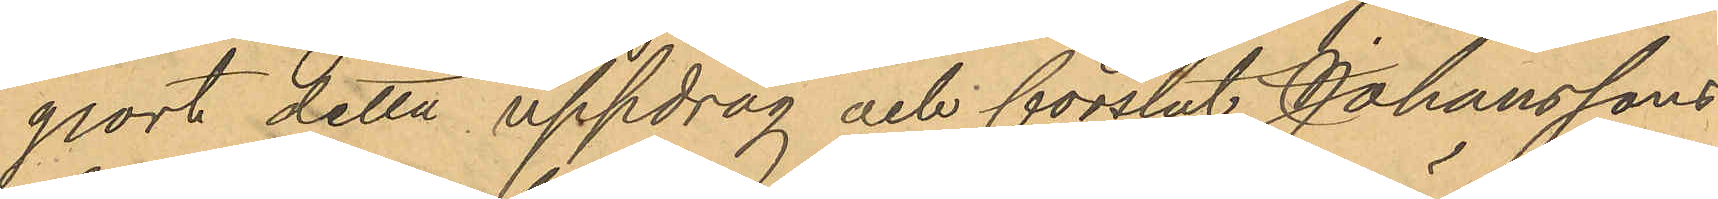gjort detta uppdrag och forslat Johanssons
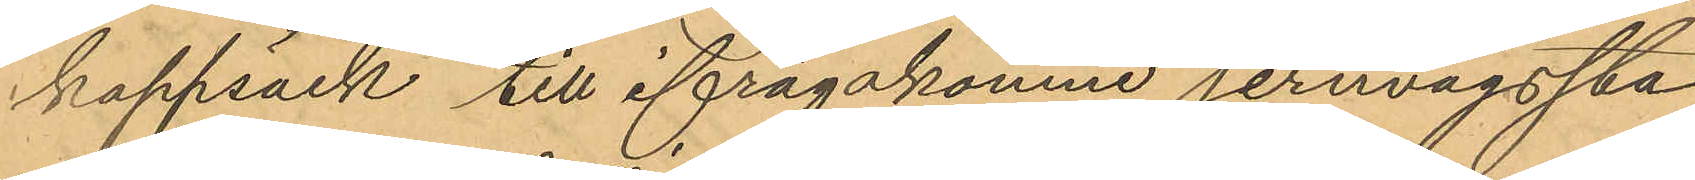kappsäck till ifrågakomne jernvägssta
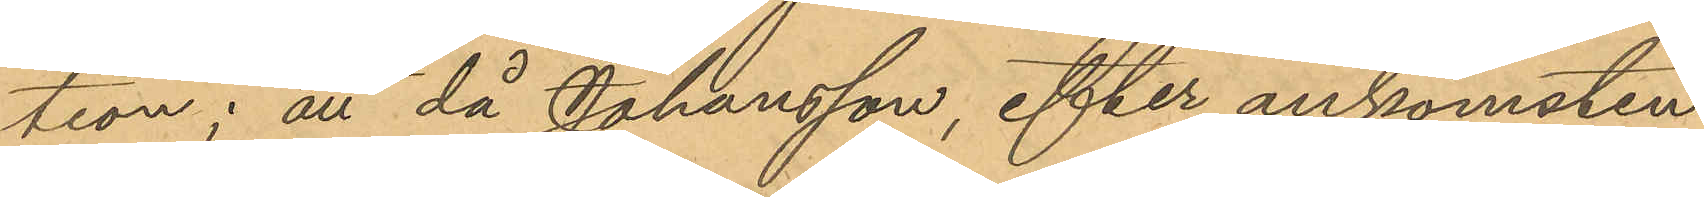tion; att då Johansson, efter ankomsten
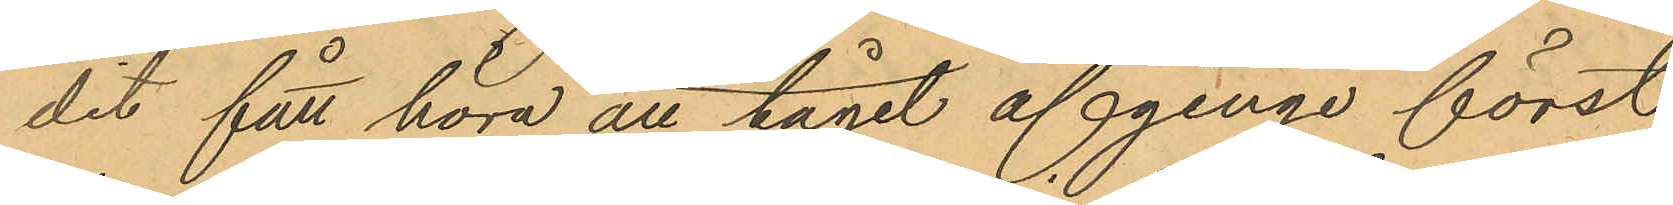dit fått höra att tåget afginge först
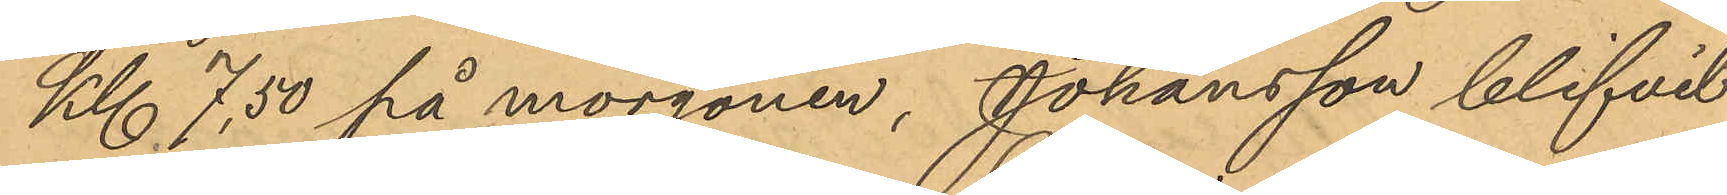Kl 7,50 på morgonen, Johansson blifvit
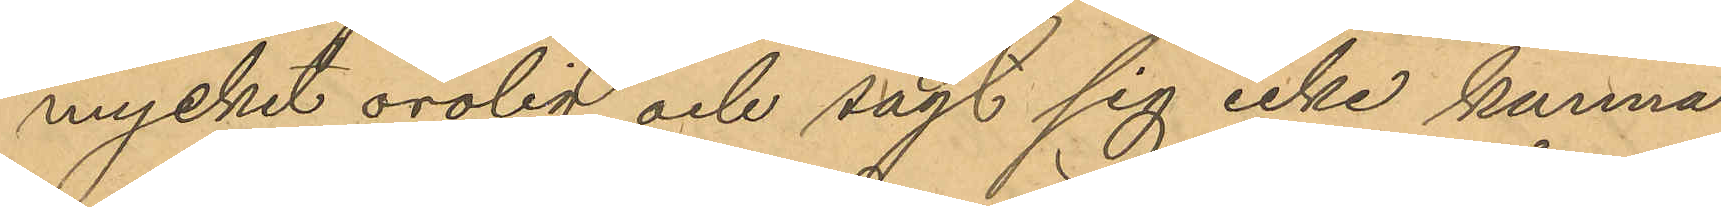mycket orolig och sagt sig icke kunna
